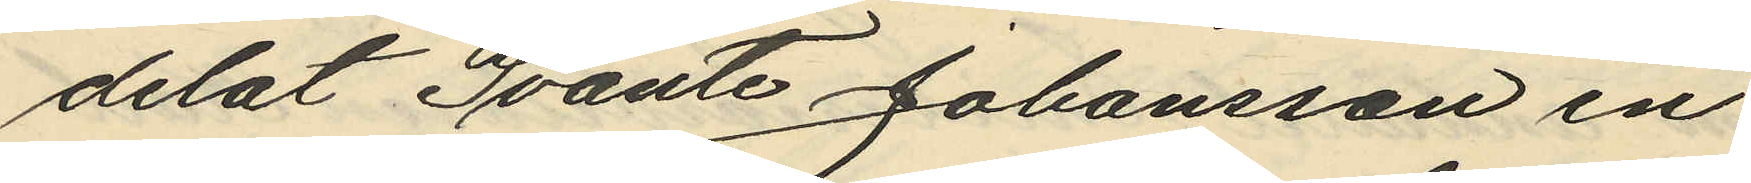delat Svante Johansson en
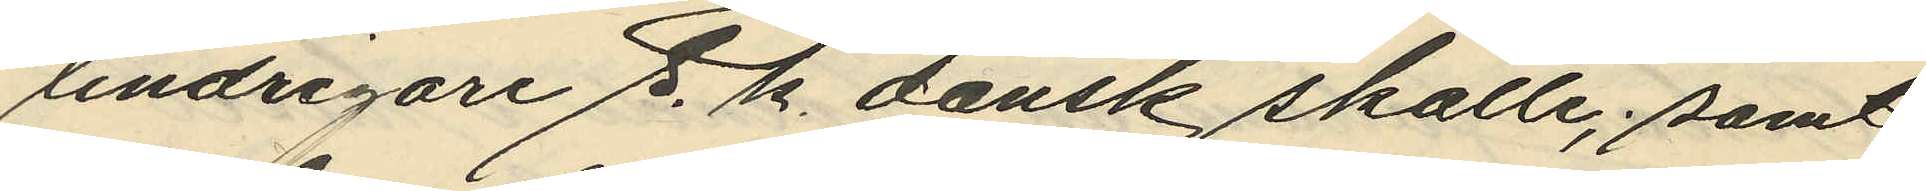lindrigare s. k. dansk skalle, samt
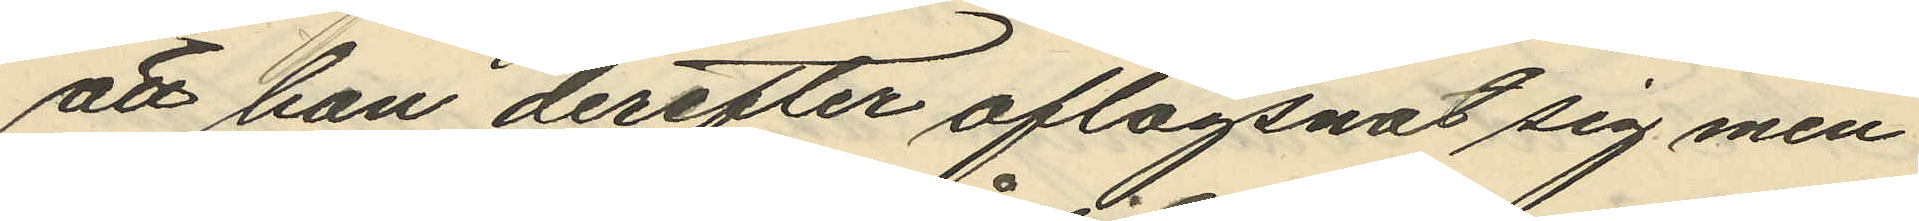att han derefter aflägsnat sig men
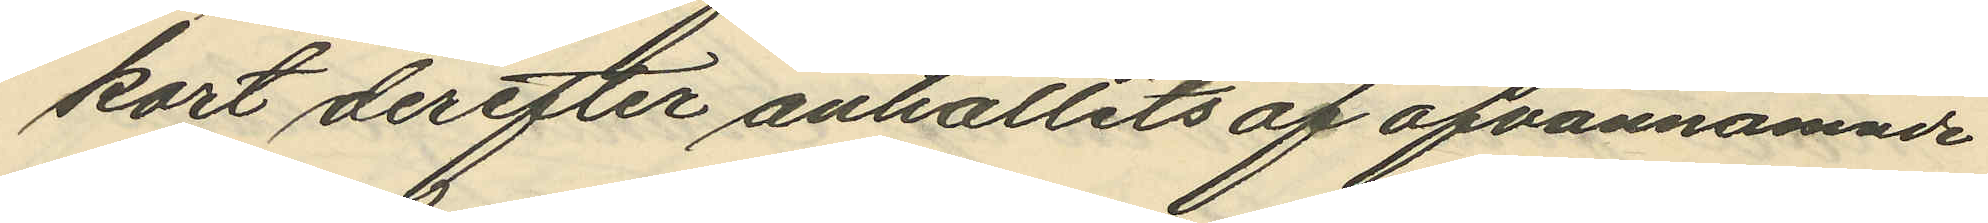kort derefter anhållits af ofvannämnde
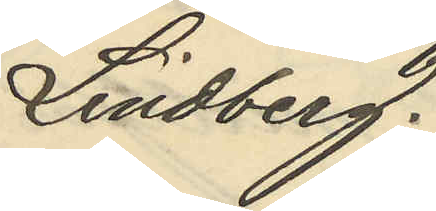Lindberg.
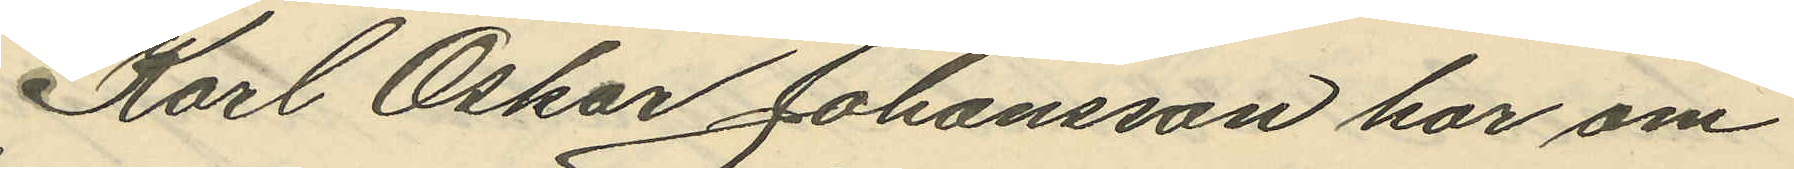Karl Oskar Johansson har om
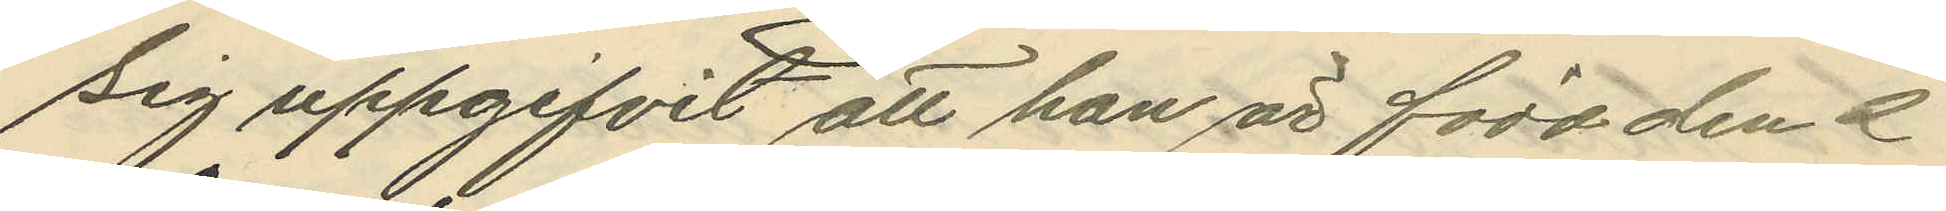sig uppgifvit att han är född den 2
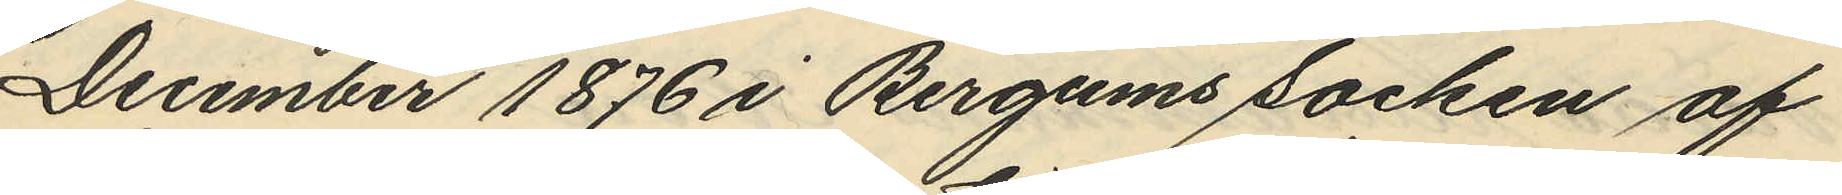December 1876 i Bergums socken af
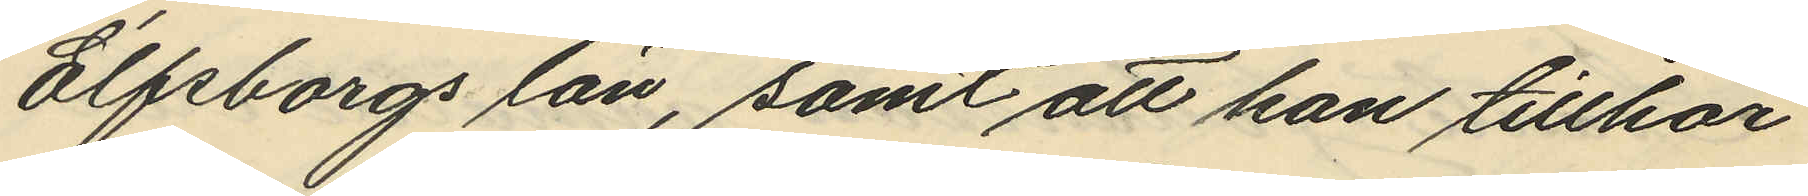Elfsborgs län, samt att han tillhör
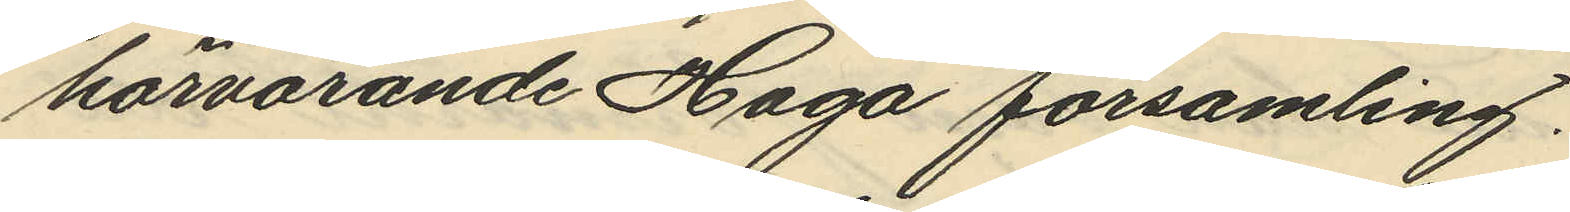härvarande Haga församling.
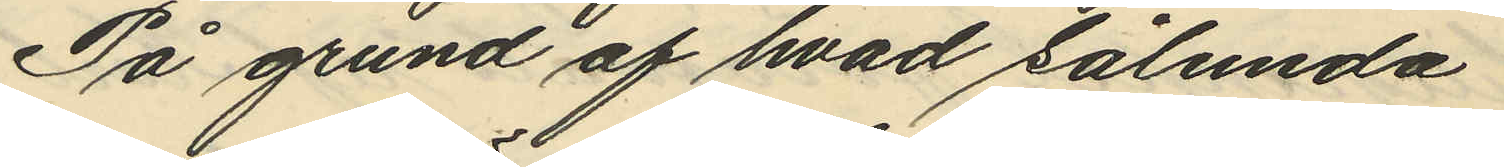På grund af hvad sålunda
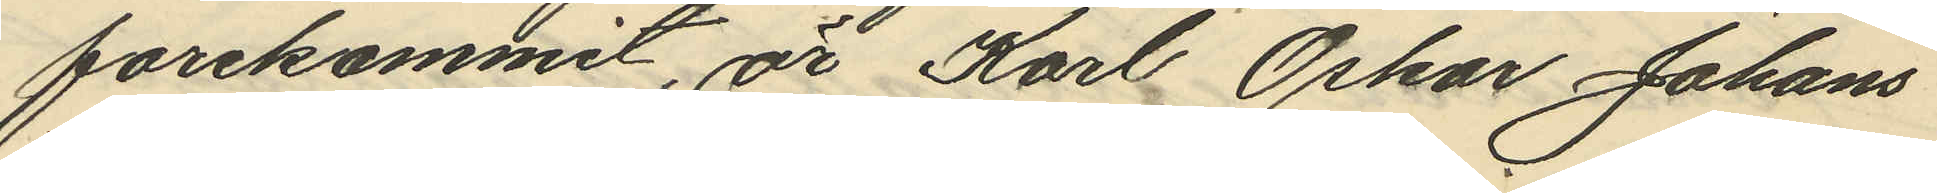forekommit, är Karl Oskar Johans
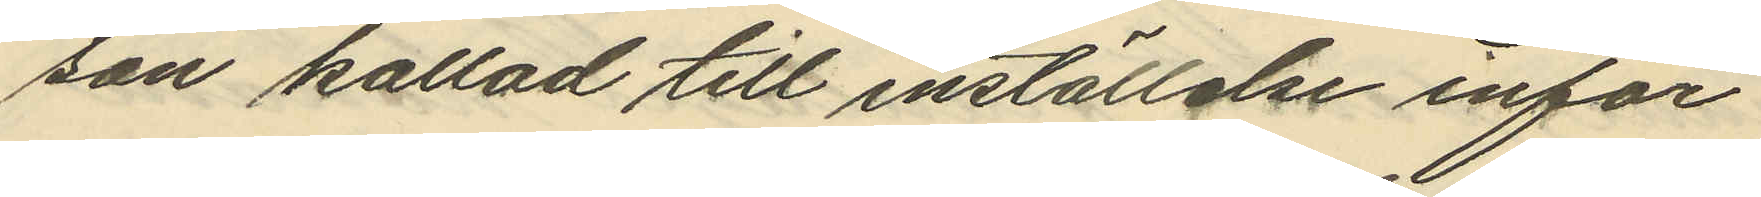son kallad till inställelse inför
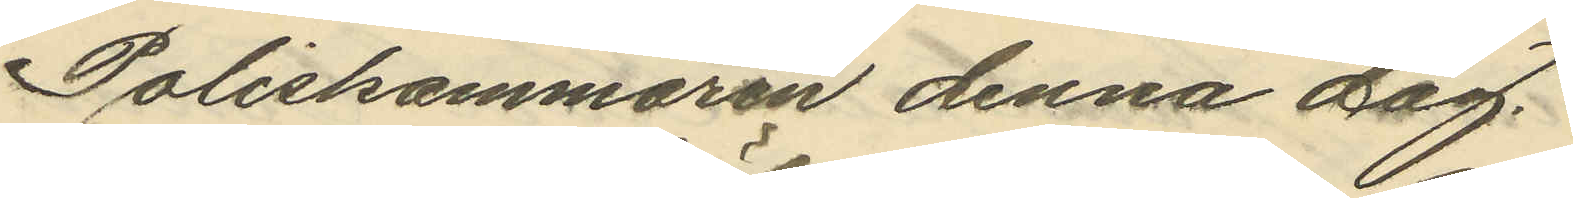Poliskammaren denna dag.
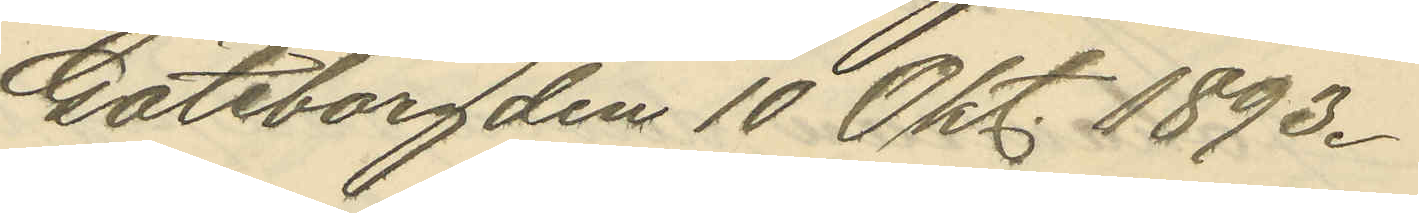Göteborg den 10 Okt. 1893.
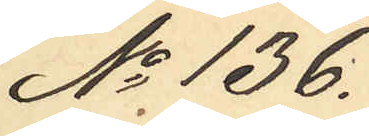No 136.
